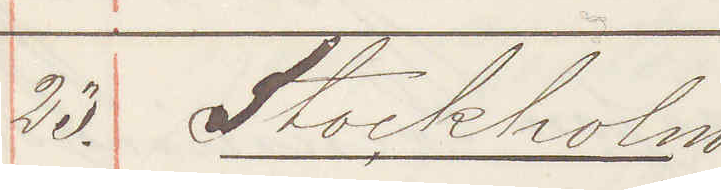23. Stockholm
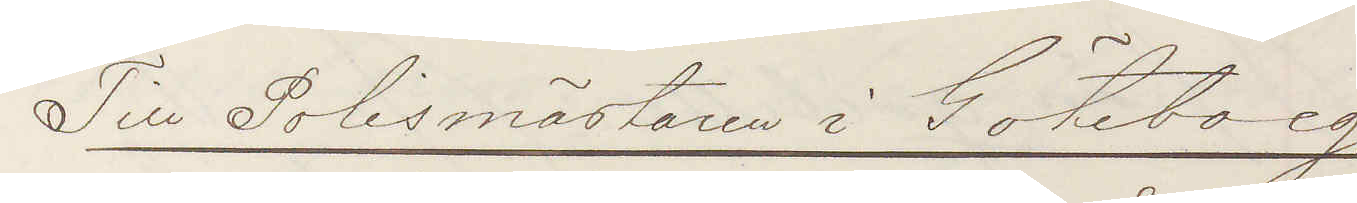Till Polismästaren i Göteborg
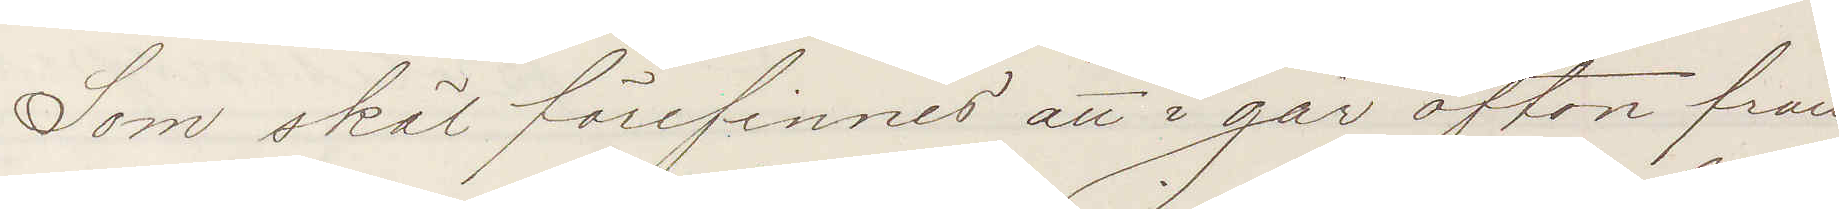Som skäl förefinnes att i går afton från
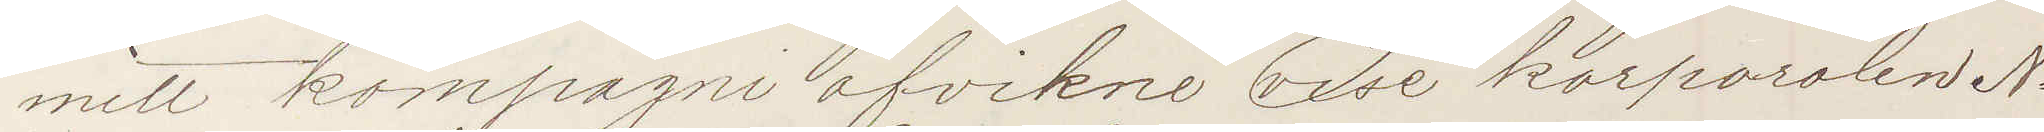mitt kompagni afvikne vise korporalen No
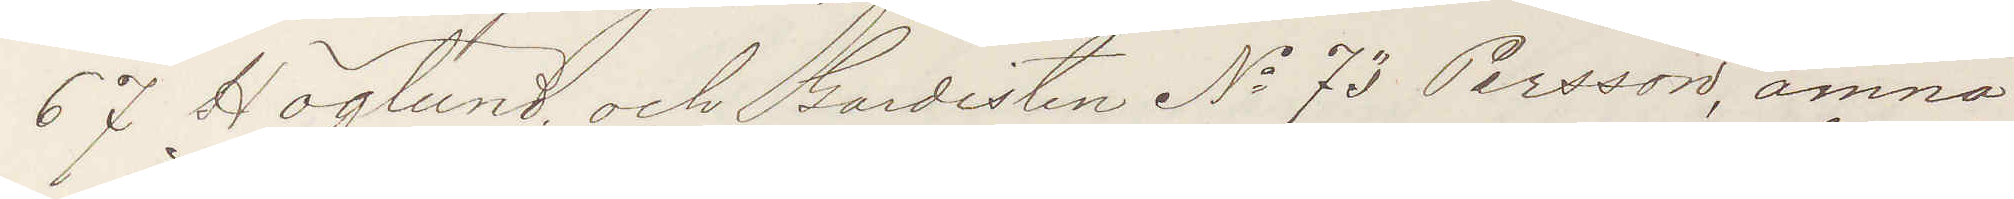67 Höglund och Gardisten No 73 Persson, ämna
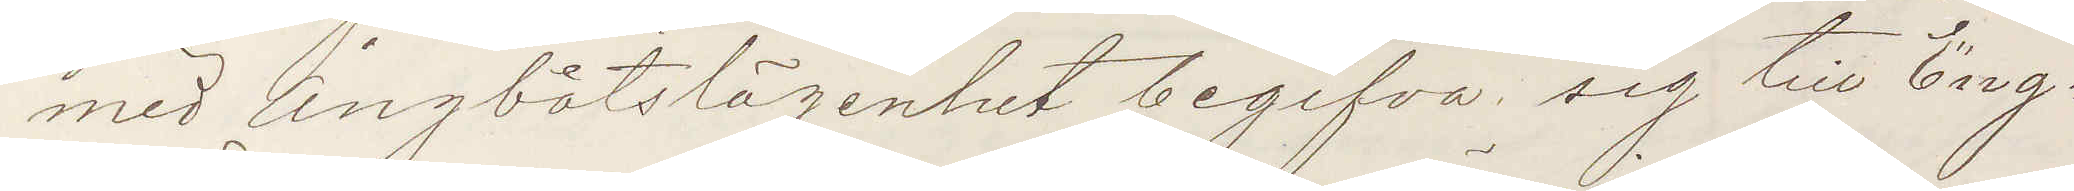med Ångbåtslägenhet begifva sig till Eng¬
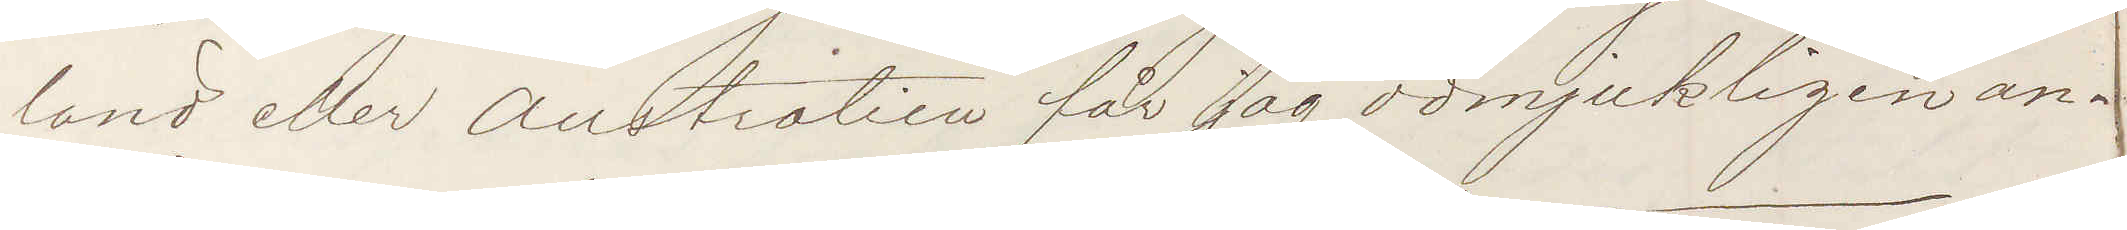land eller Australien får jag ödmjukligen an¬
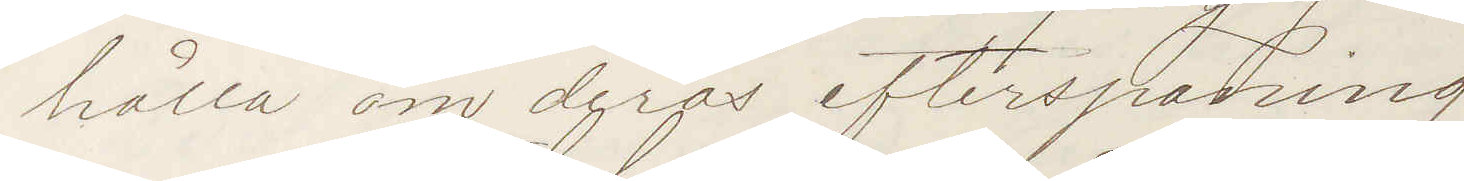hålla om deras efterspaning.
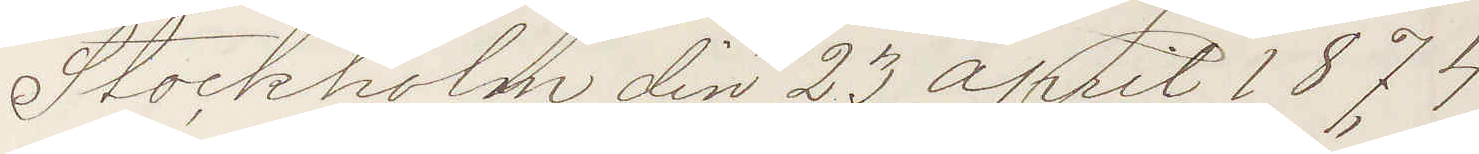Stockholm den 23 April 1874.
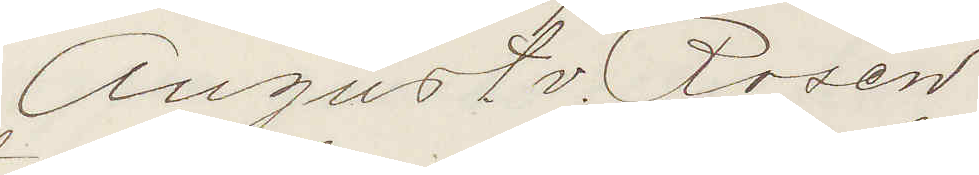August v. Rosén
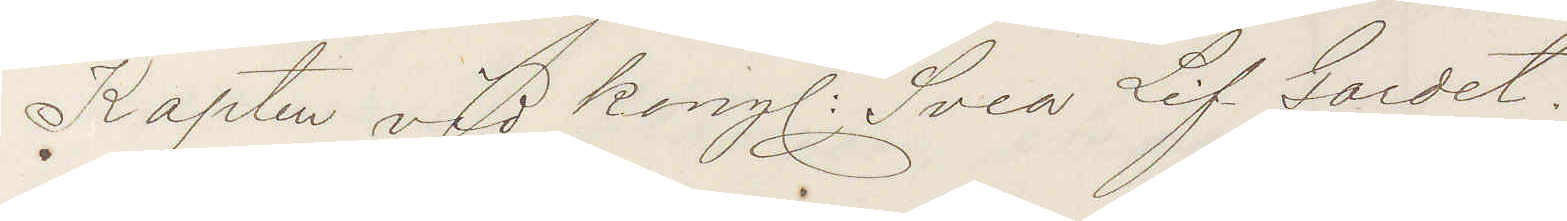Kapten vid kong: Svea Lif Gardet.
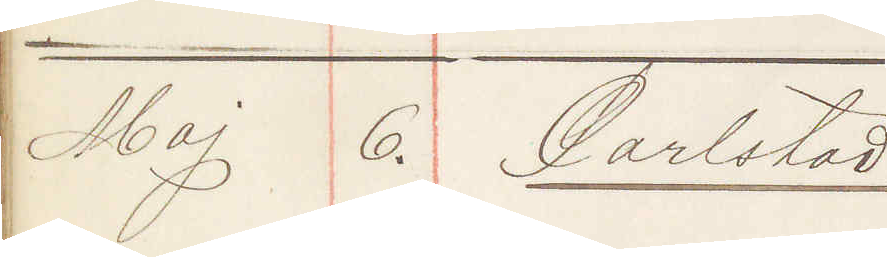Maj 6. Carlstad
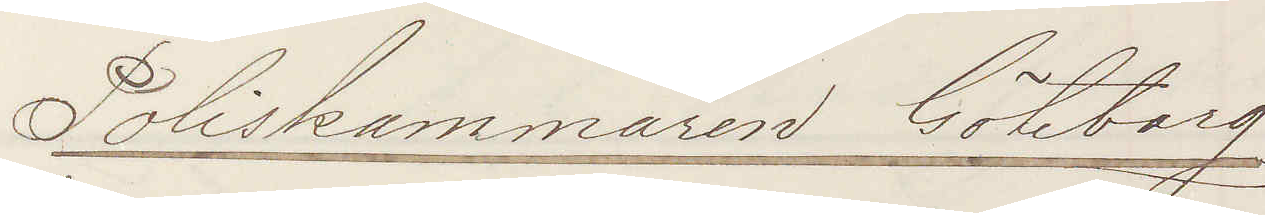Poliskammaren Göteborg
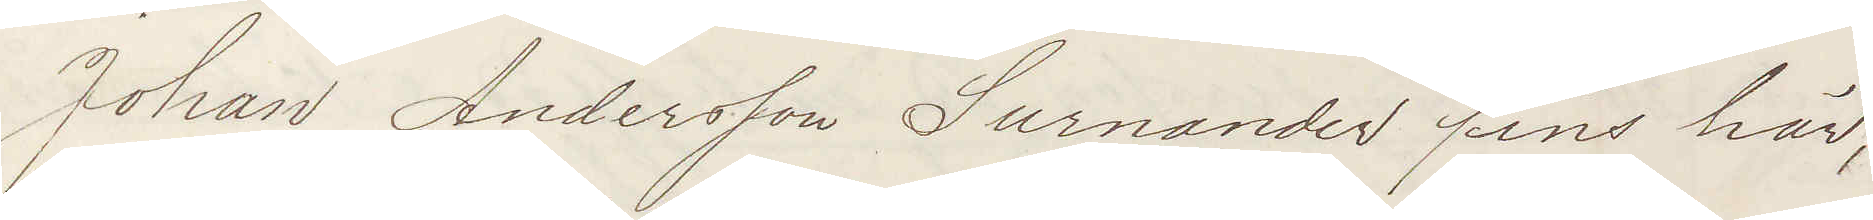Johan Andersson Surnander fins här,
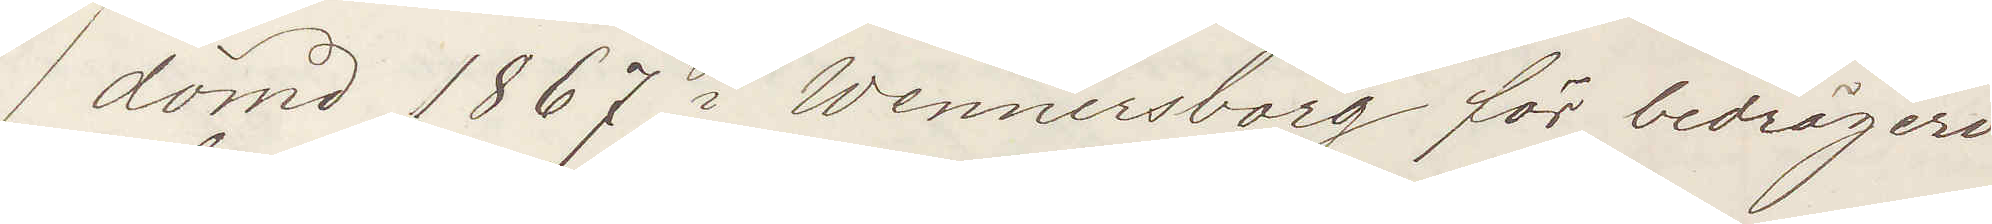dömd 1867 i Wennersborg för bedrägeri
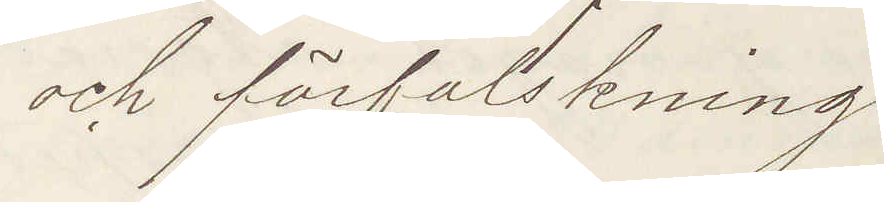och förfalskning!
